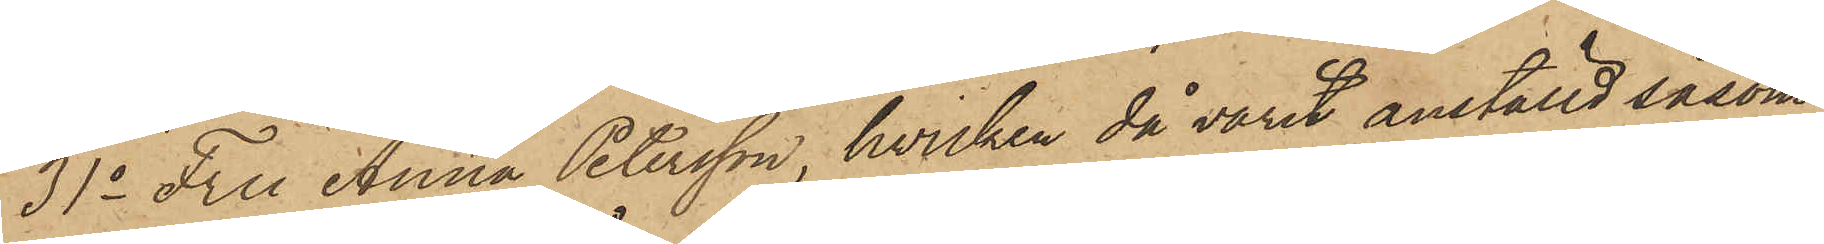31o Fru Anna Petersson, hvilken då varit anställd såsom
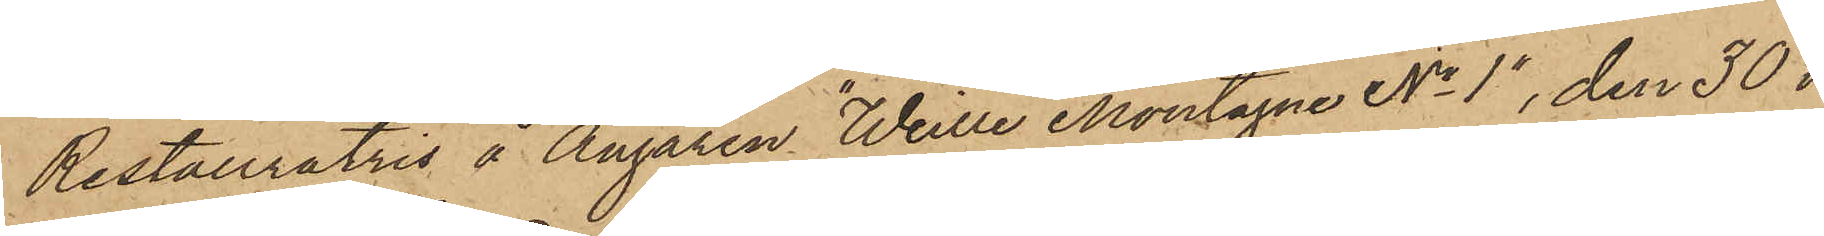Restauratris å Ångaren "Weille Montagne No 1", den 30 i
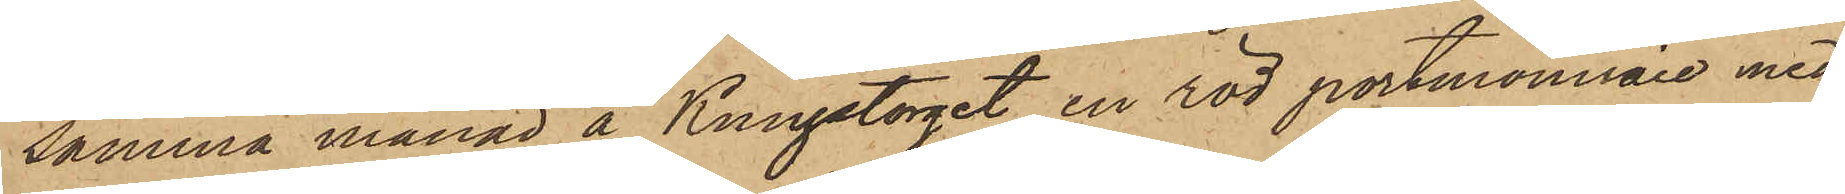samma månad å Kungstorget en röd portmonnaie med
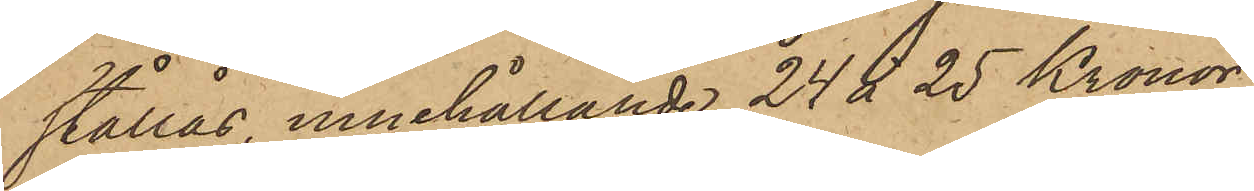stållås, innehållande 24 á 25 Kronor;
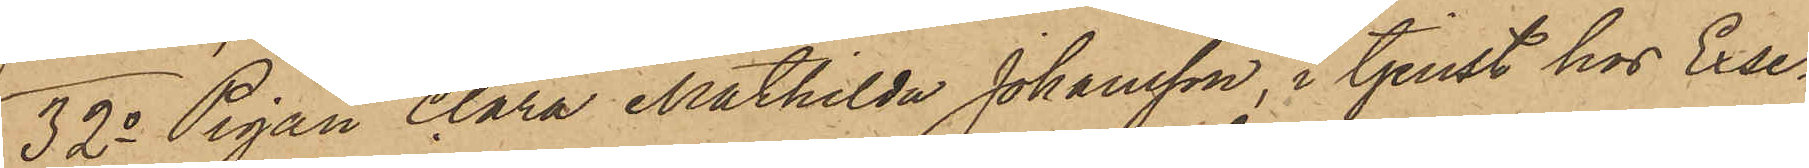32o Pigan Clara Mathilda Johansson, i tjenst hos Exse¬
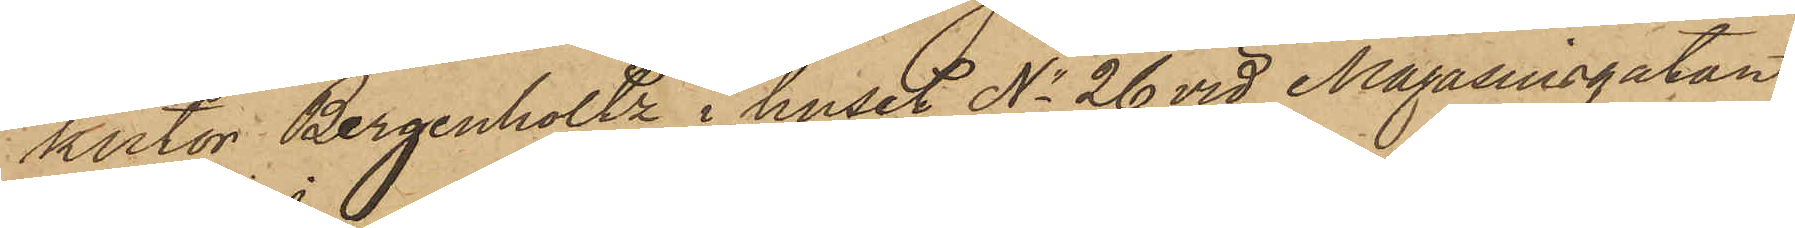kutor Bergenholtz i huset No 26 vid Magasinsgatan
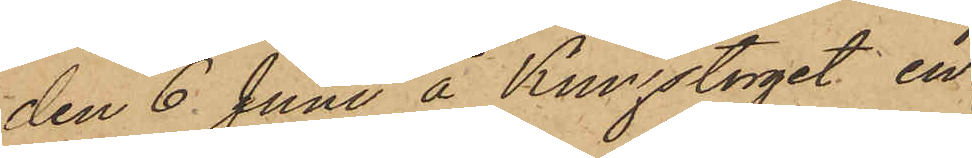den 6 Juni å Kungstorget en
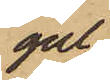gul
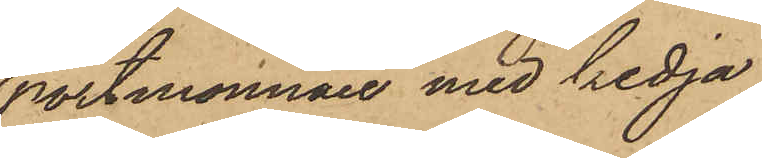portmonnaie med kedja
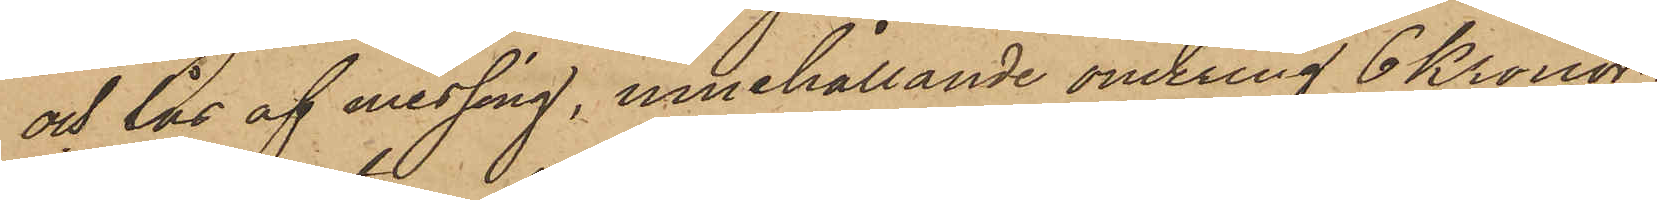och lås af messing, innehållande omkring 6 Kronor;
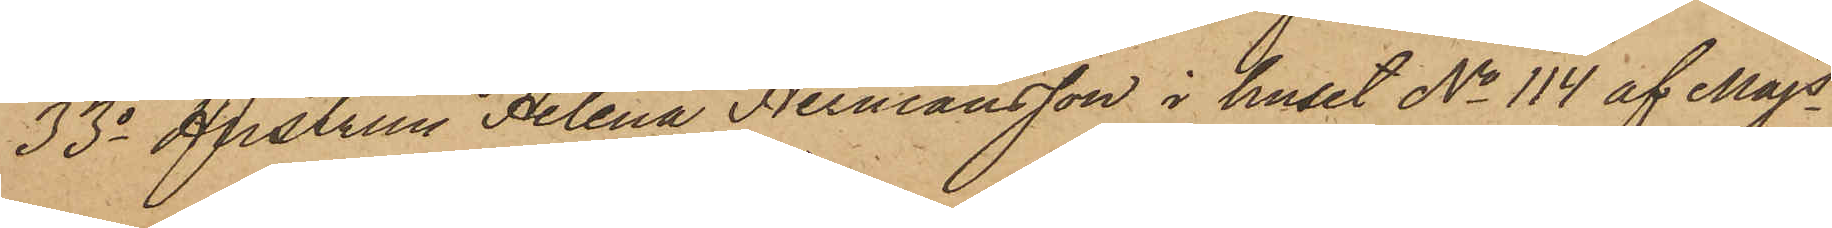33o Hustrun Helena Hermansson i huset No 114 af Majs
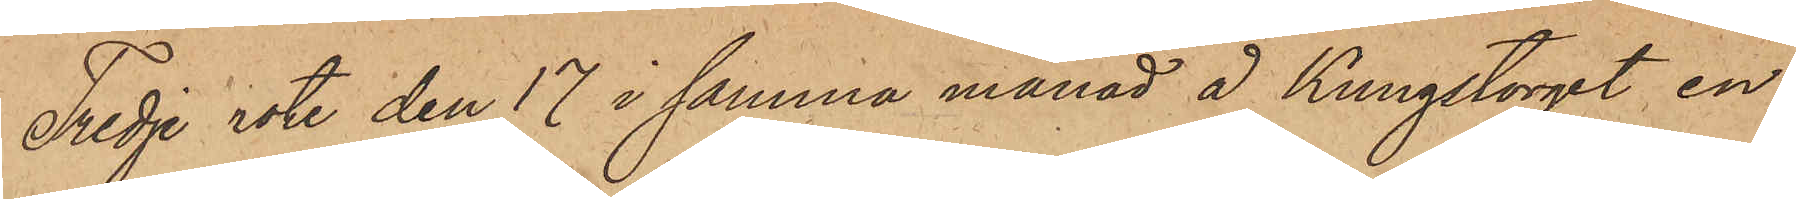Tredje rote den 17 i samma månad å Kungstorget, en
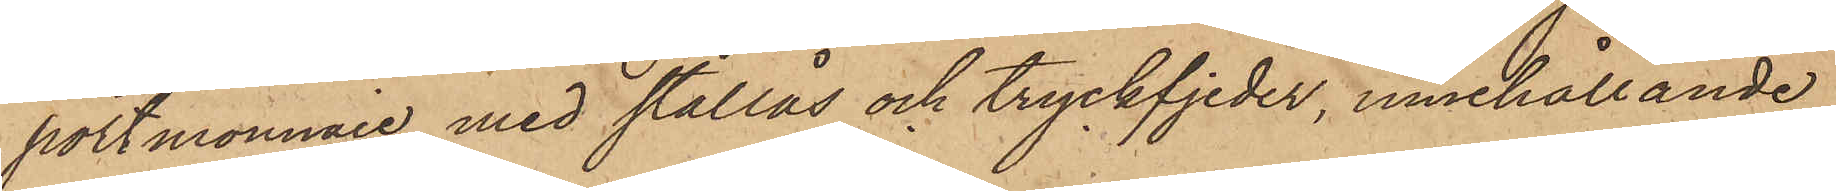portmonnaie med stållås och tryckfjeder, innehållande
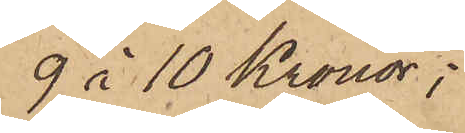9 à 10 Kronor;
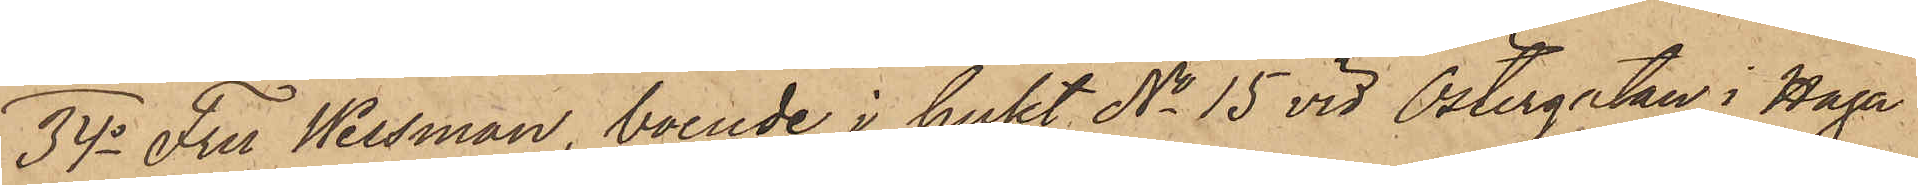34o Fru Wessman, boende i huset No 15 vid Östergatan i Haga
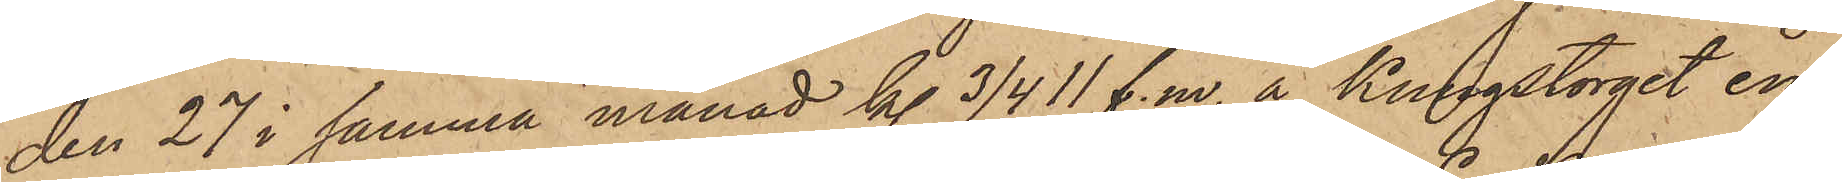den 27 i samma månad kl. 3/4 11 f. m. å Kungstorget en
